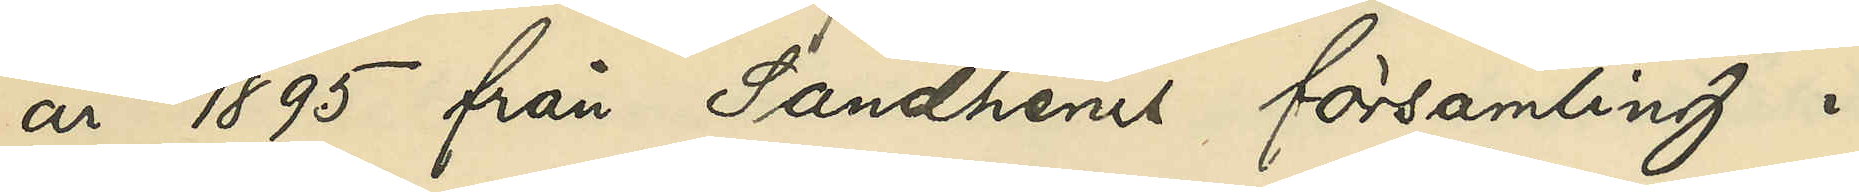år 1895 från Sandhems församling i
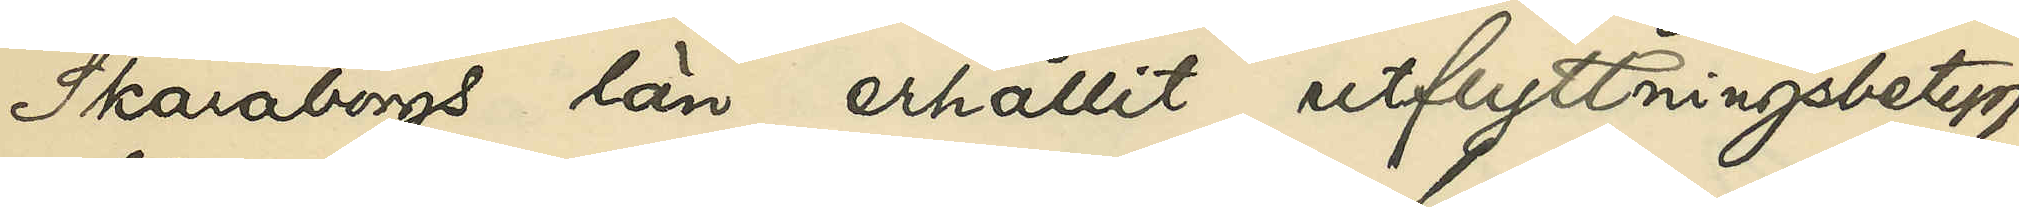Skaraborgs län erhållit utflyttningsbetyg
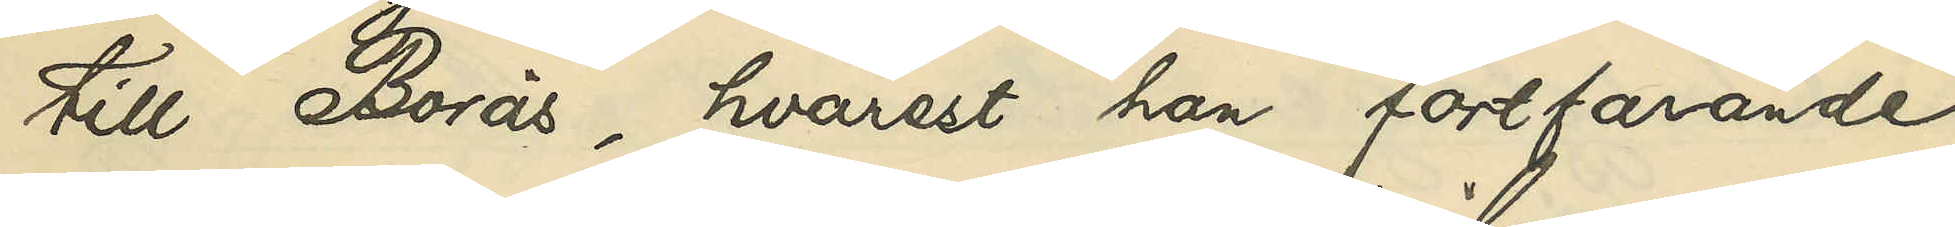till Borås, hvarest han fortfarande
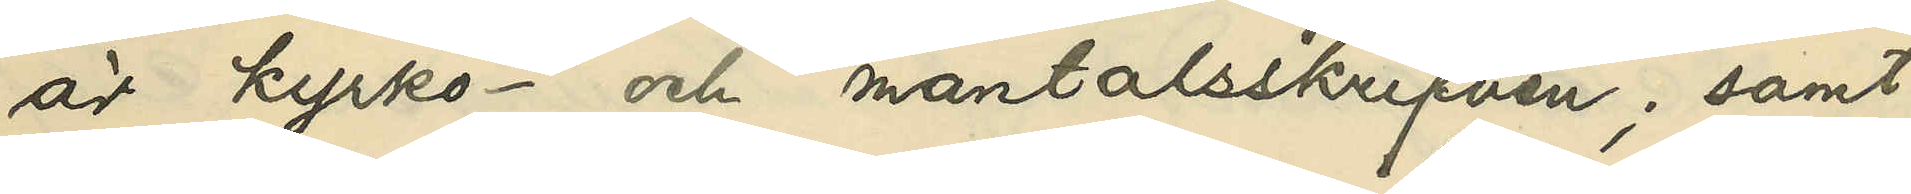är kyrko- och mantalsskrifven; samt
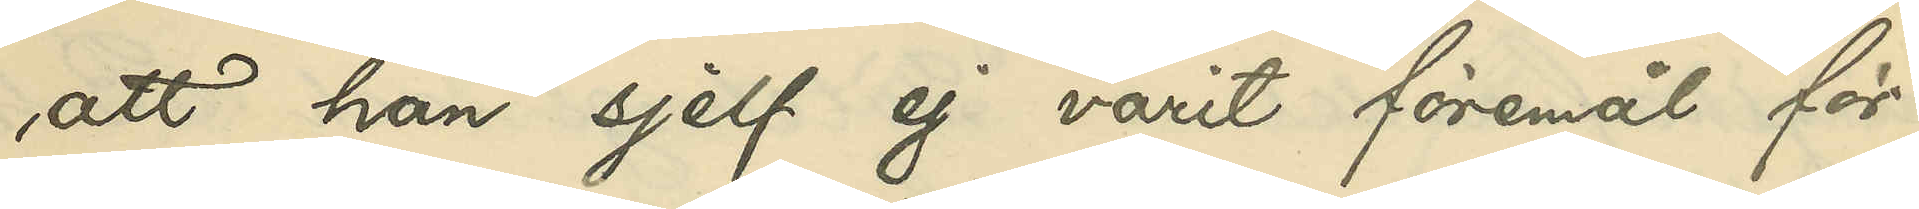att han sjelf ej varit föremål för
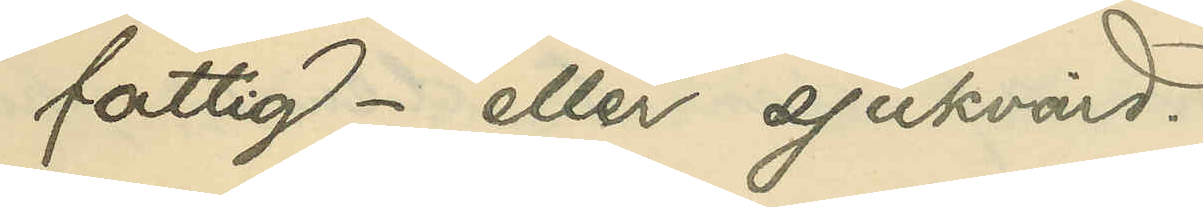fattig- eller sjukvård.
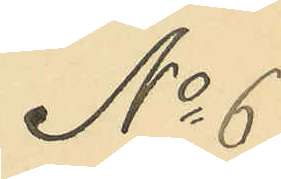No 6
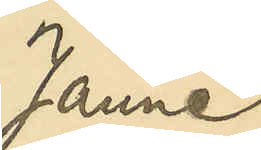Janne
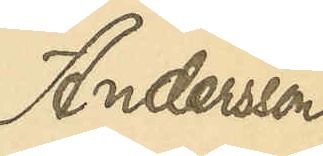Andersson
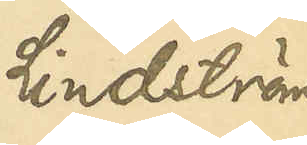Lindström
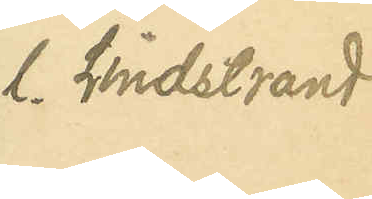l. Lindstrand
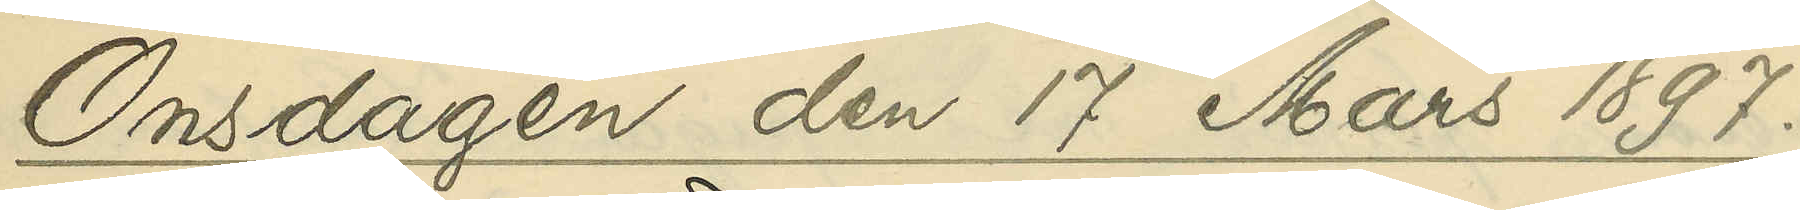Onsdagen den 17 Mars 1897.
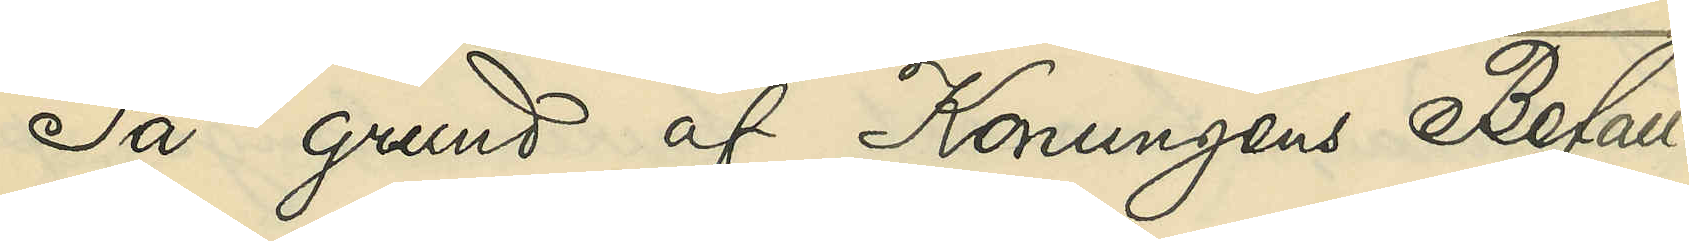På grund af Konungens Befall¬
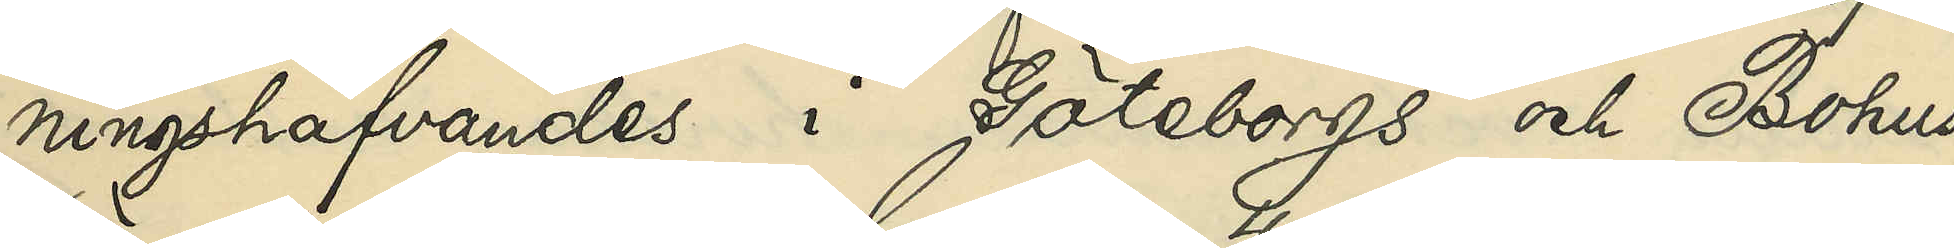ningshafvandes i Göteborgs och Bohus
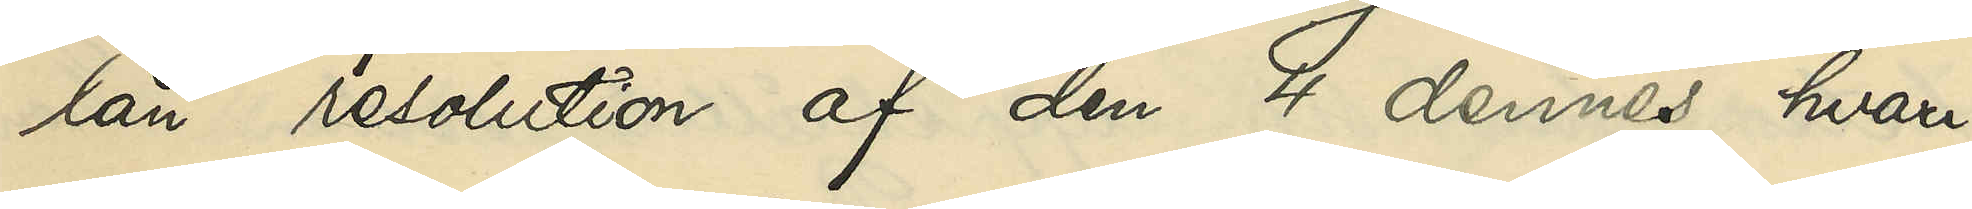län resolution af den 4 dennes, hvari¬
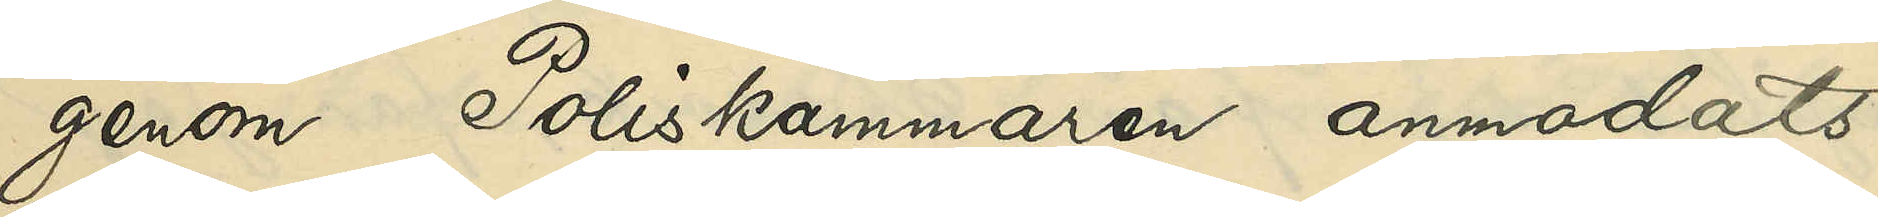genom Poliskammaren anmodats
